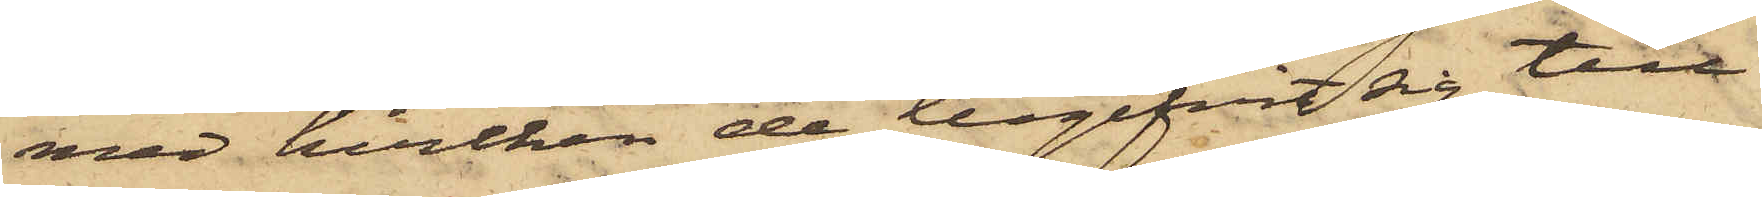med hvilken de begifvit sig till
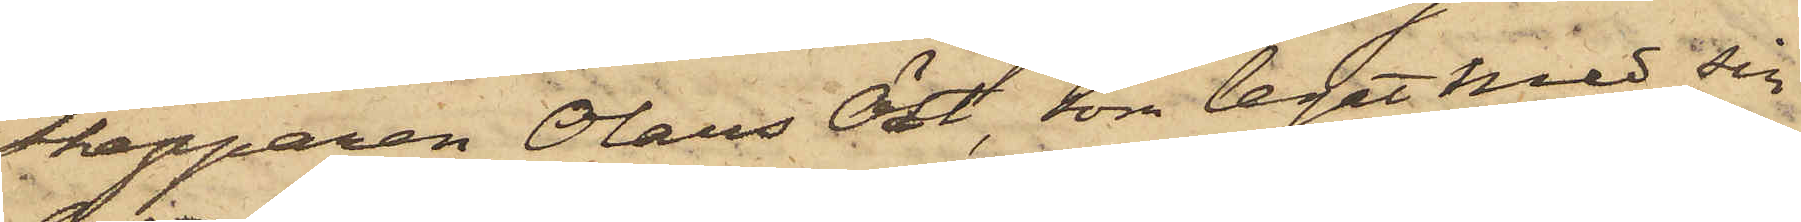skepparen Olaus Öst, som legat med sin
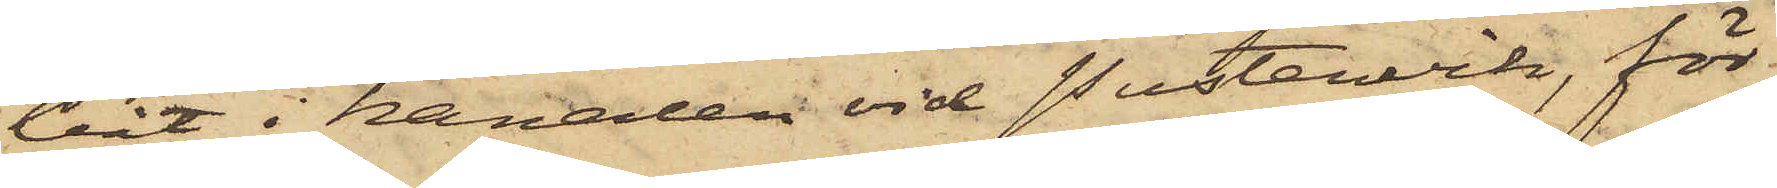båt i kanalen vid Pustervik, för
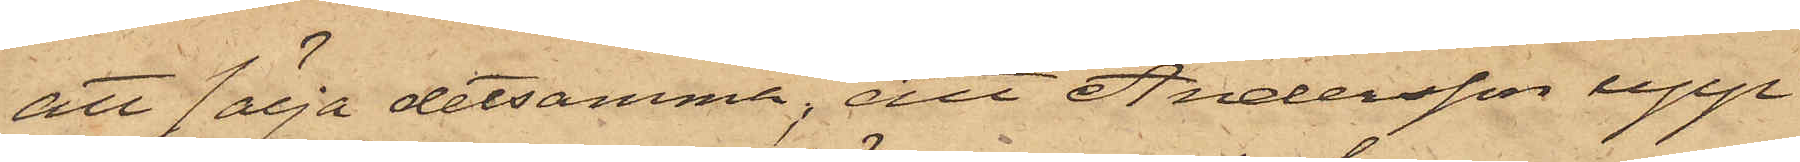att sälja detsamma; att Andersson upp¬
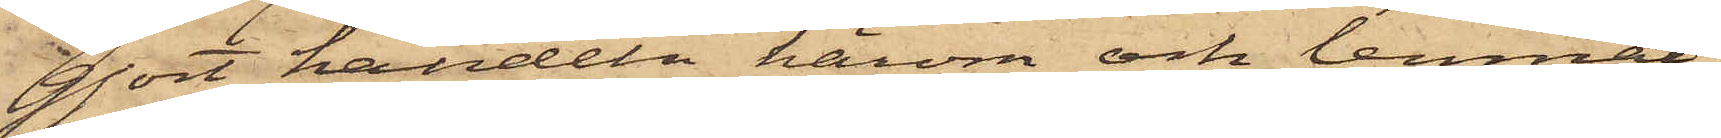gjort handeln härom och lemnat
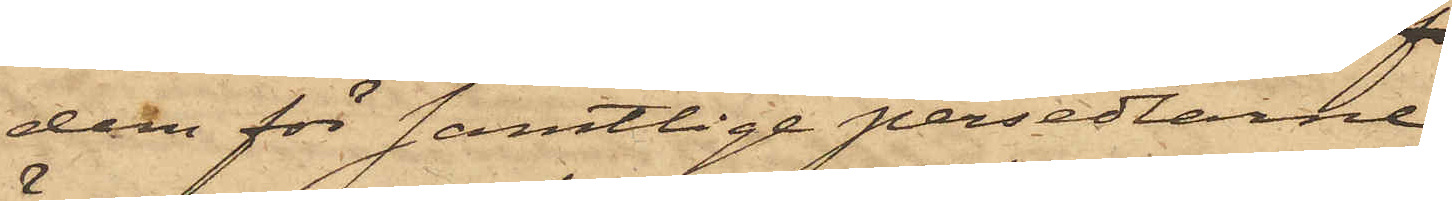dem för samtlige persedlarne
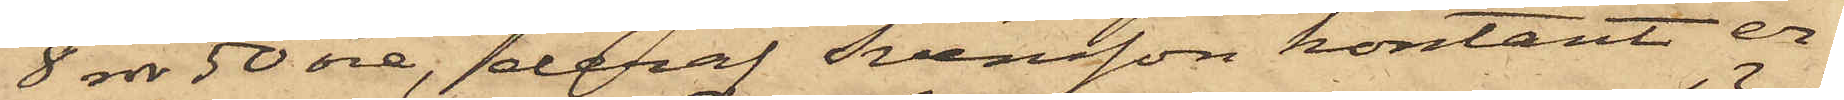8 rdr 50 öre, deraf Svensson kontant er¬
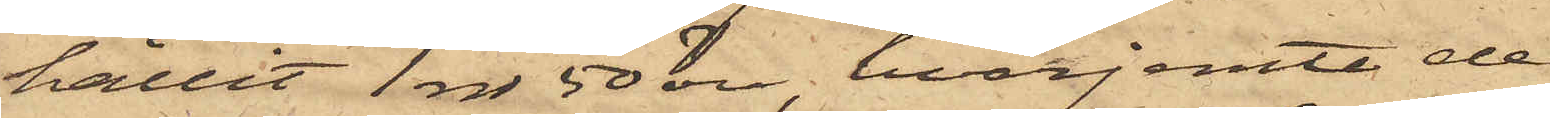hållit 1 rdr 50 öre, hvarjemte de
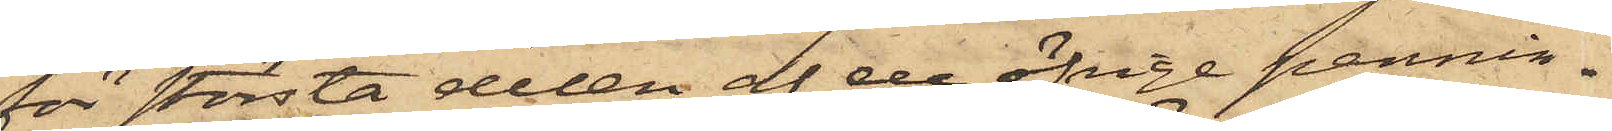för största delen af de öfrige pennin¬
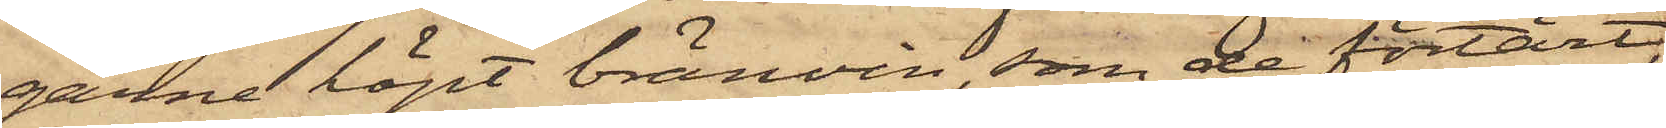garne köpt bränvin som de förtärt,
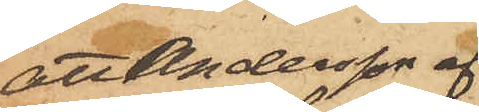att Andersson af
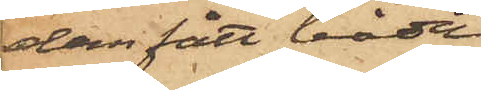dem fått båda
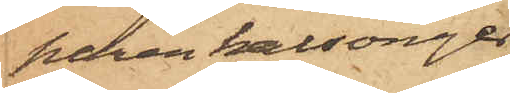paren kalsonger;
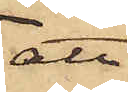att
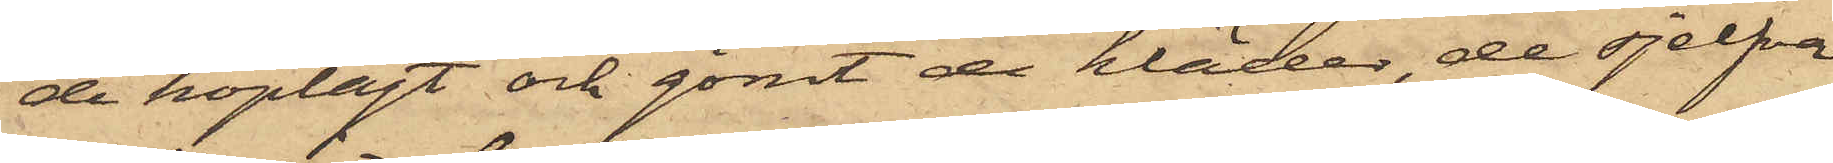de hoplagt och gömt de kläder, de sjelfva
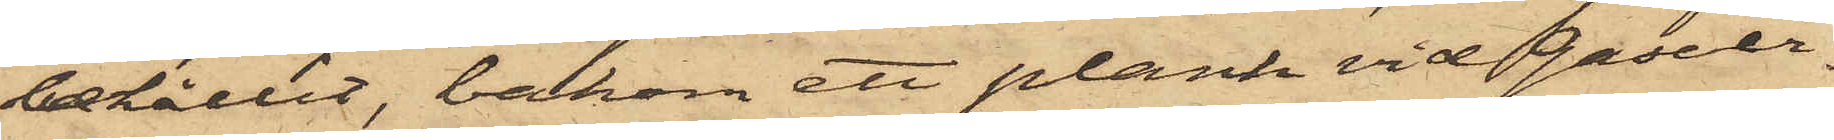behållit, bakom ett plank vid Gasver¬
